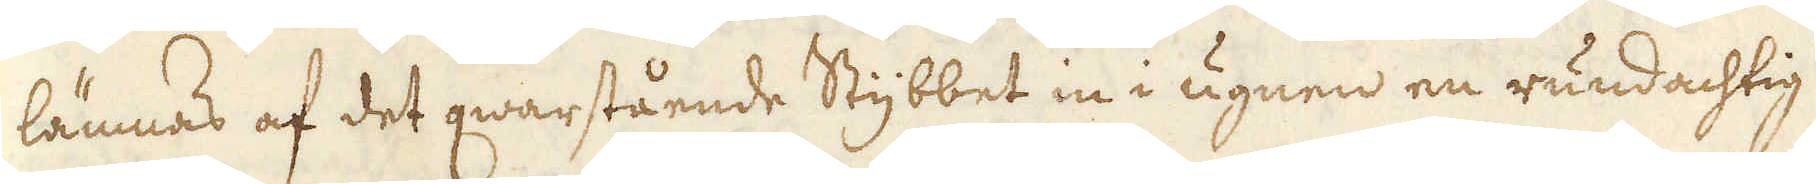lämnas af det qwarstående Stybbet in i ugnen en rundachtig
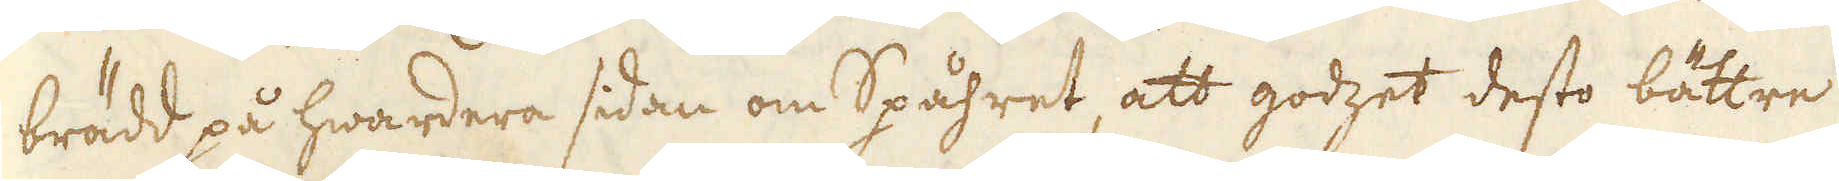brädd på hwardera sidan om Spåhret, att godzet desto bättre
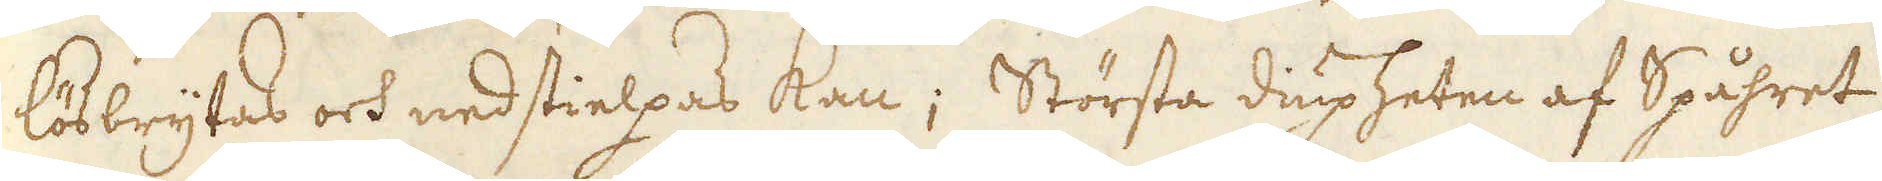lösbrytas och nedstielpas kan; Största diupheten af Spåhret
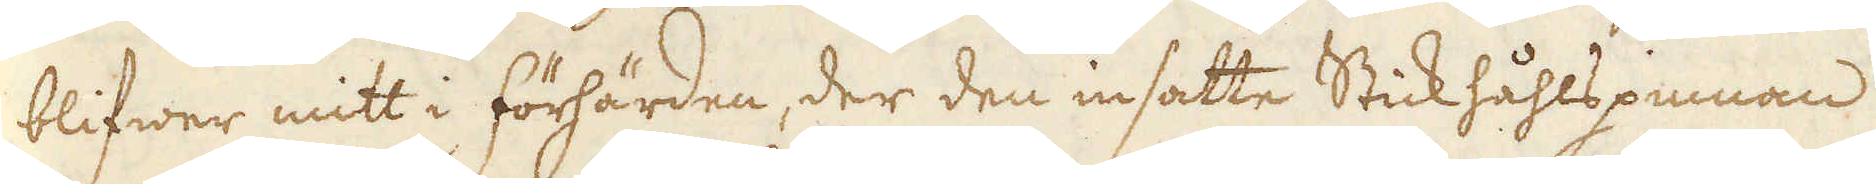blifwer mitt i förhärden, der den insatte Stickhåhlspinnnan
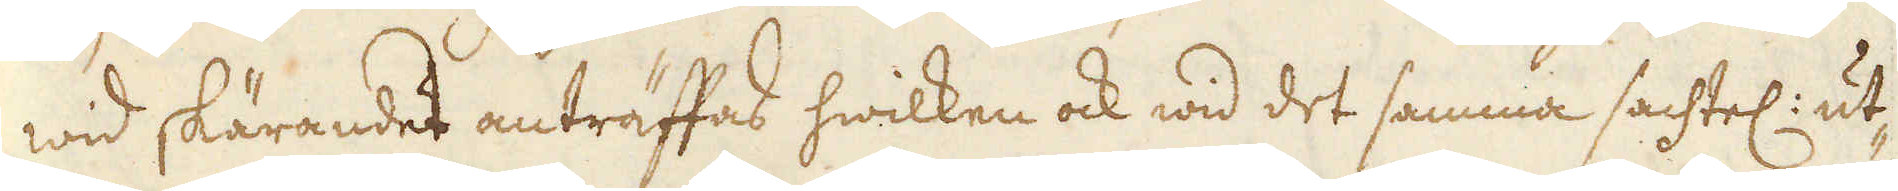wid skärandet anträffad hwilken ock wid det samma sachtel: ut-
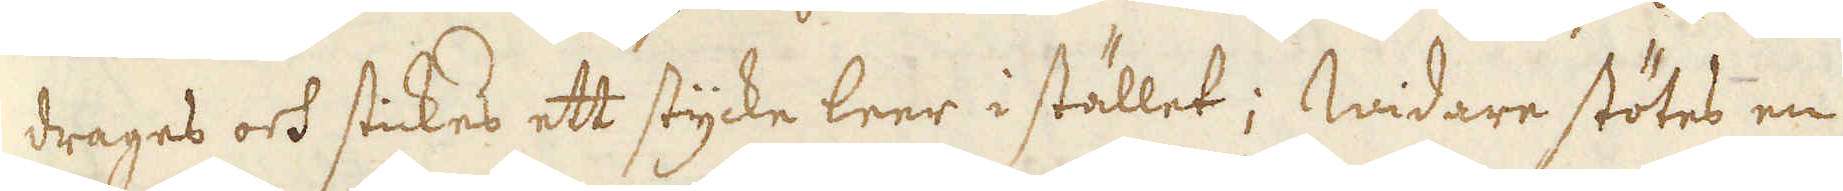drages och stickes ett stycke leer i stället; Widare stötes en
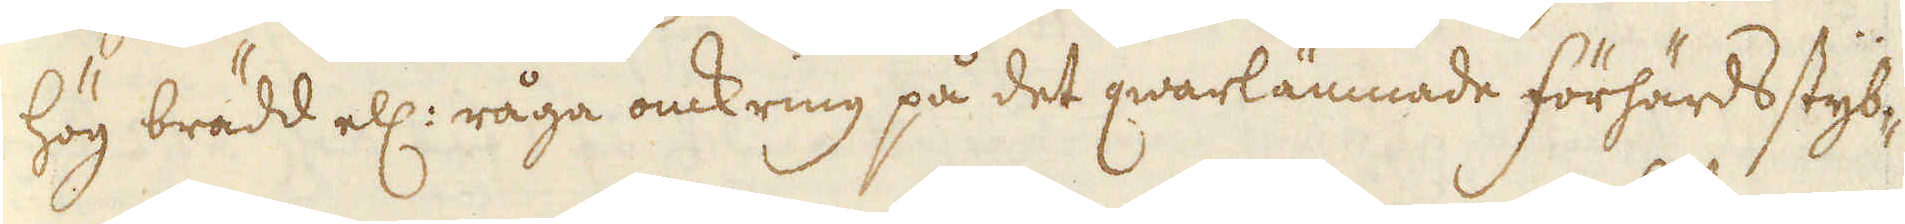hög brädd ell: råga omkring på det qwarlämmade förhärdsstyb-
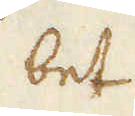bet
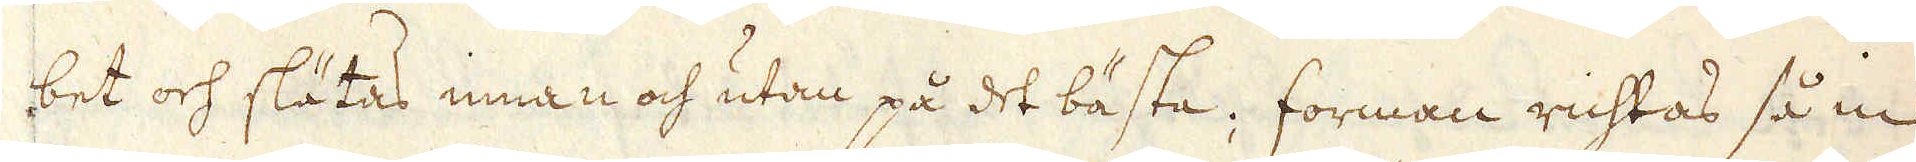bet och slätas innan och utan på det bästa; forman richtas så in
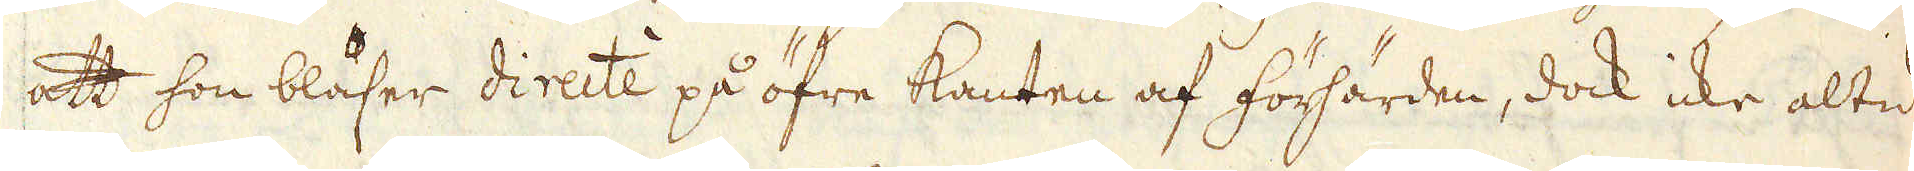att hon blåser directe på öfre kanten af förhärden, dock icke altid
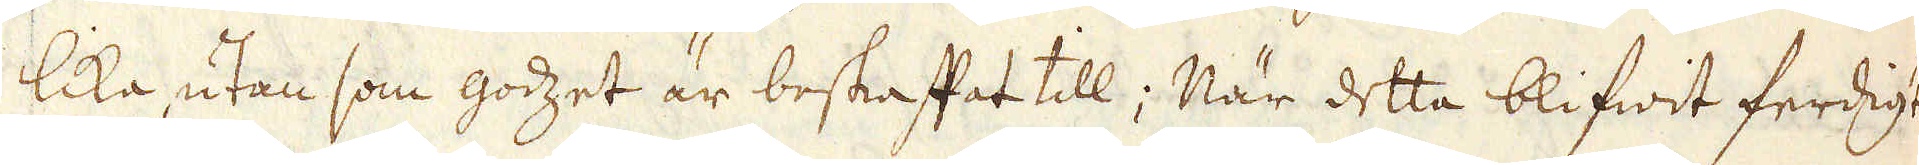lika, utan som godzet är beskaffat till; När detta blifwit ferdigt
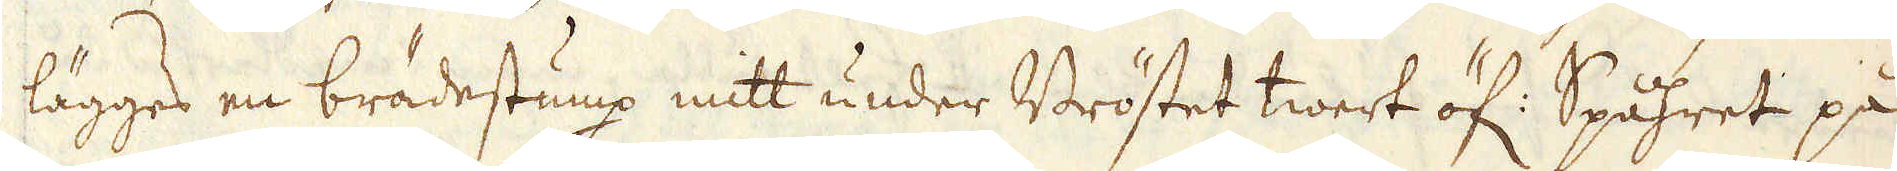lägges en brädestump mitt under Bröstet twert öf: Spåhret på
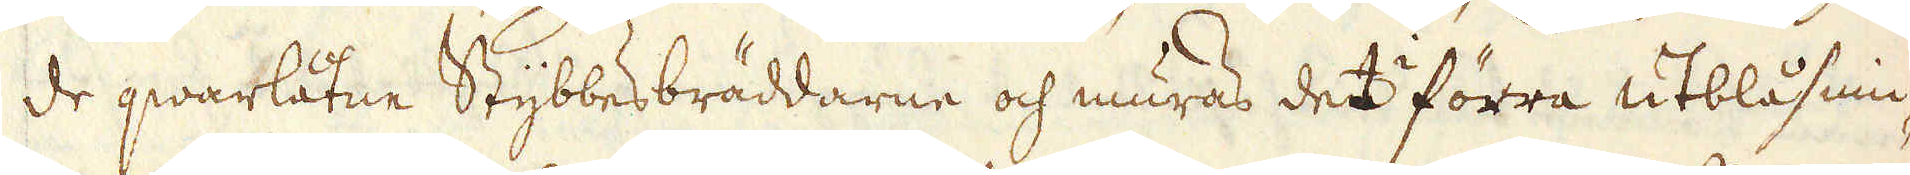de qwarlåtne Stybbesbräddarne och muras det förra utblåsnin-
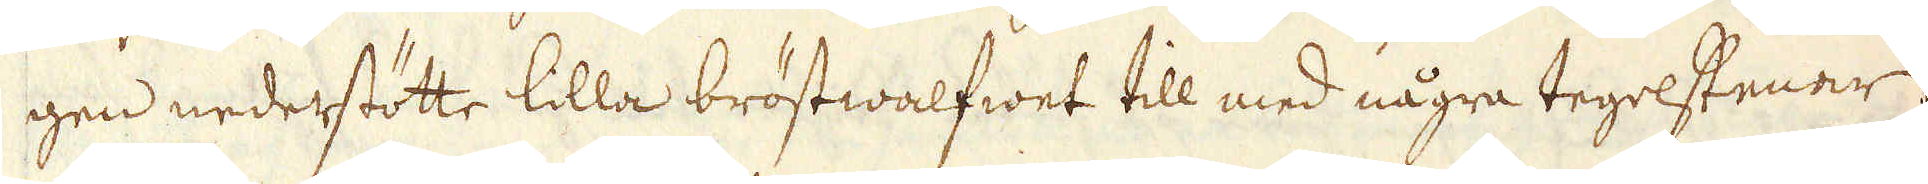gen nederstötte lilla bröstwalfwet till med några tegelstenar;
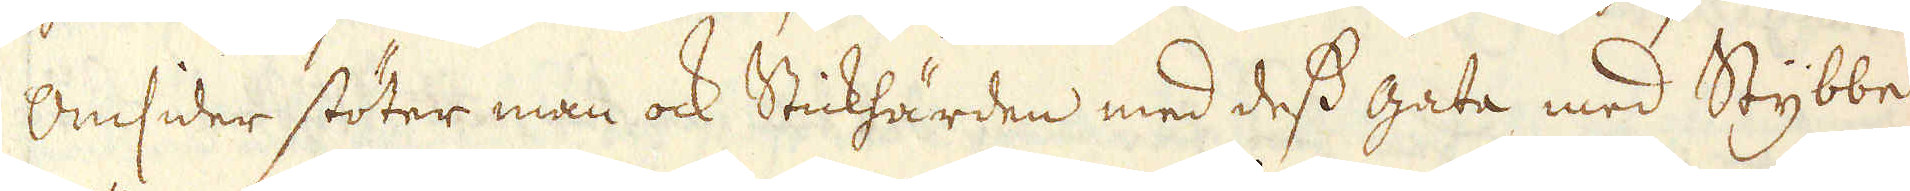Omsider stöter man ock Stickhärden med dess gata med Stybbe
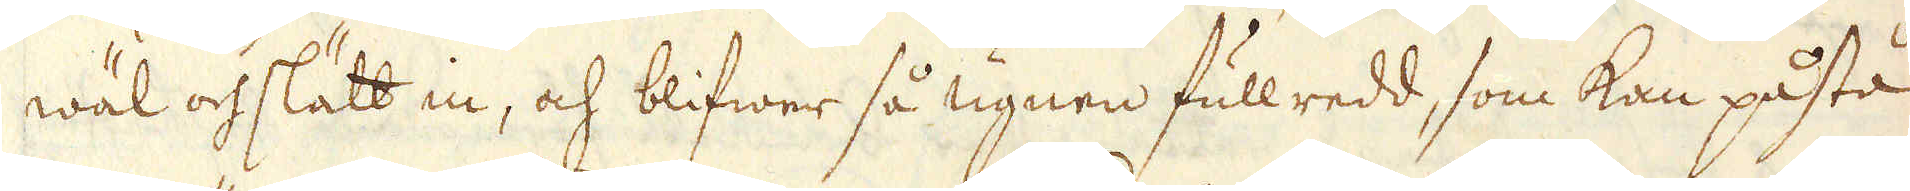wäl och slätt in, och blifwer så ugnen fullredd, som kan påstå
